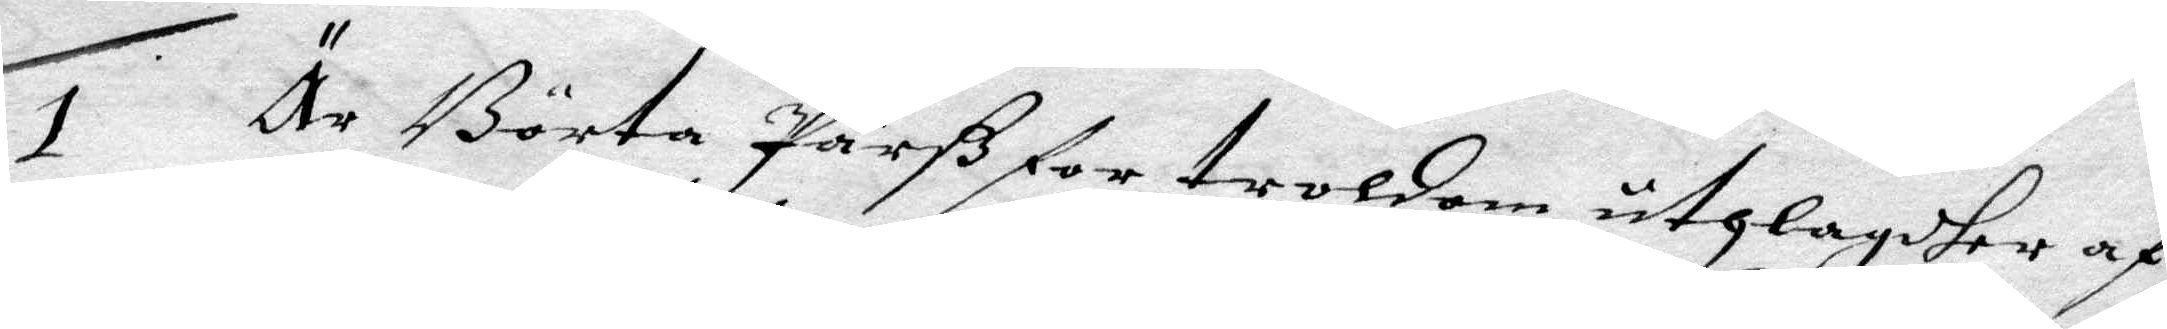1 Är Börta Pärß for troldom uthlagdher af
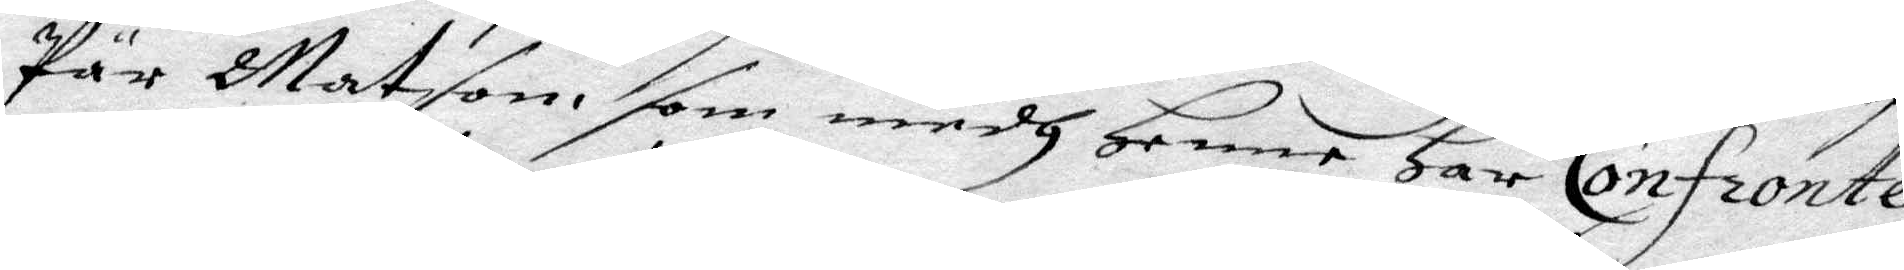P'r Matson, som medh Henne Har Confrpnte¬
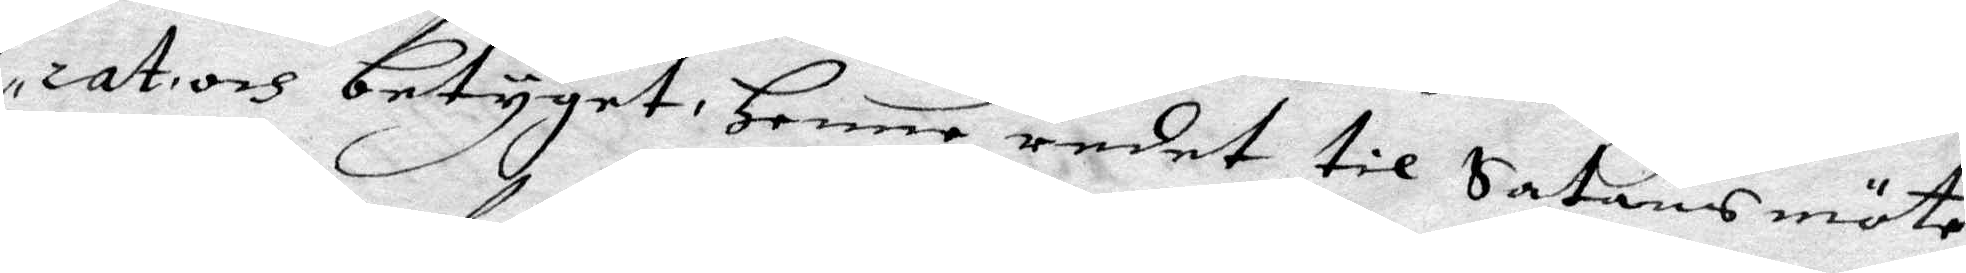rats betyget Henne redet til Satans möte
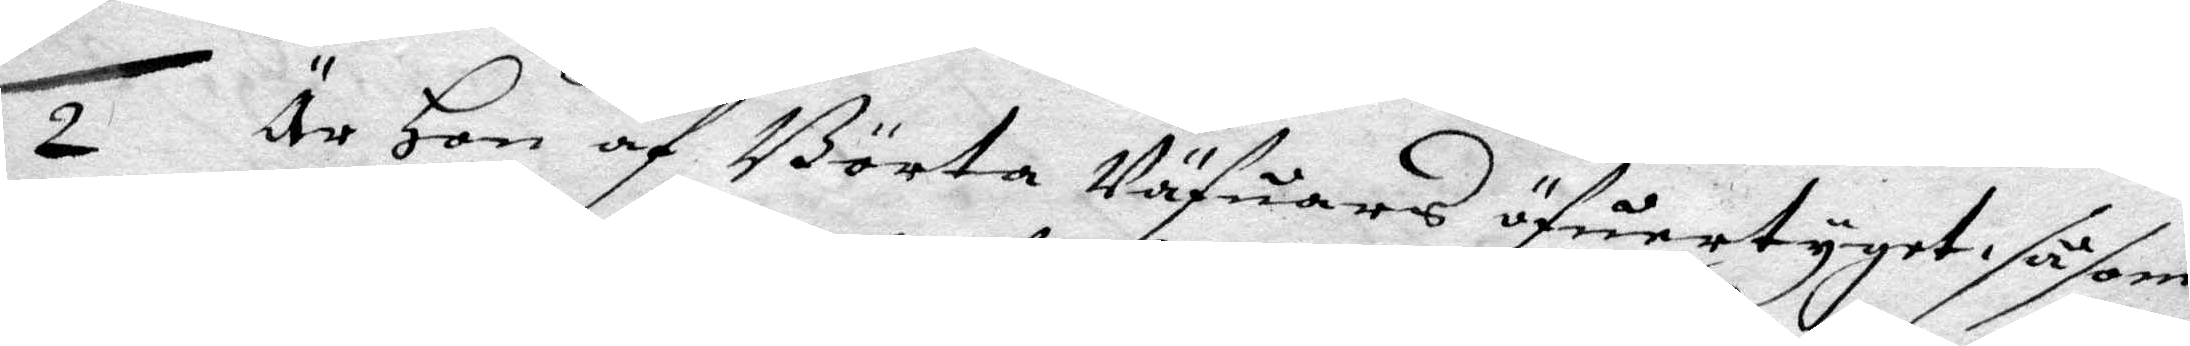2 Är Hon af Börta Väfuars öfuertyget såsom
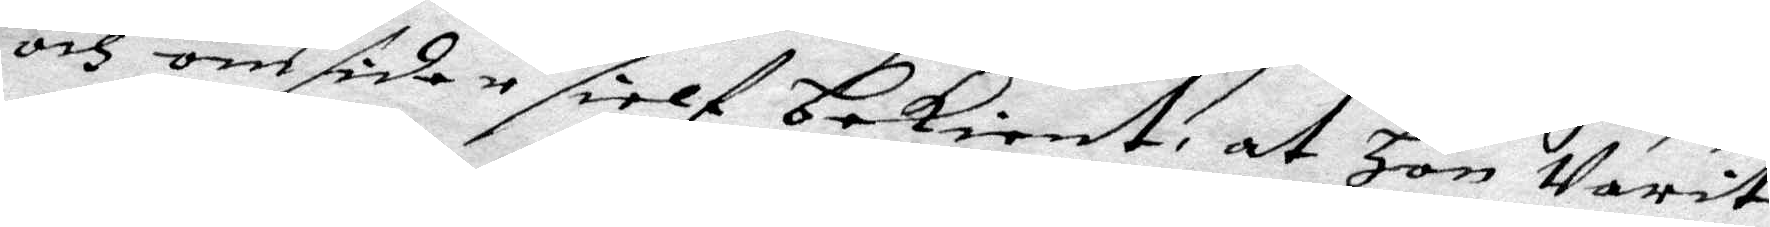och omsider sielf bekient, at Hon Varit
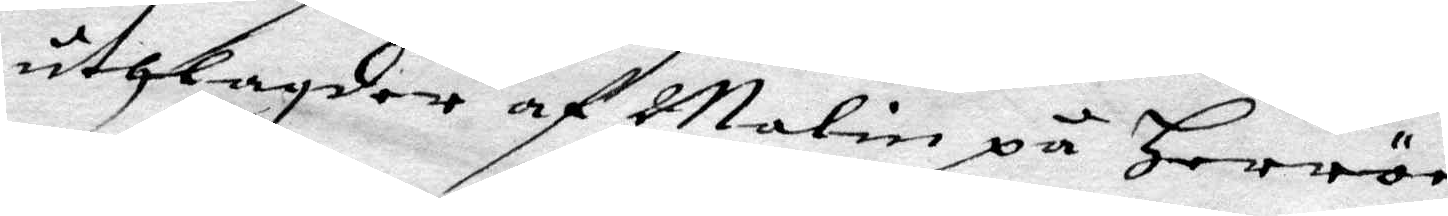uthlagder af Malin på Herrör
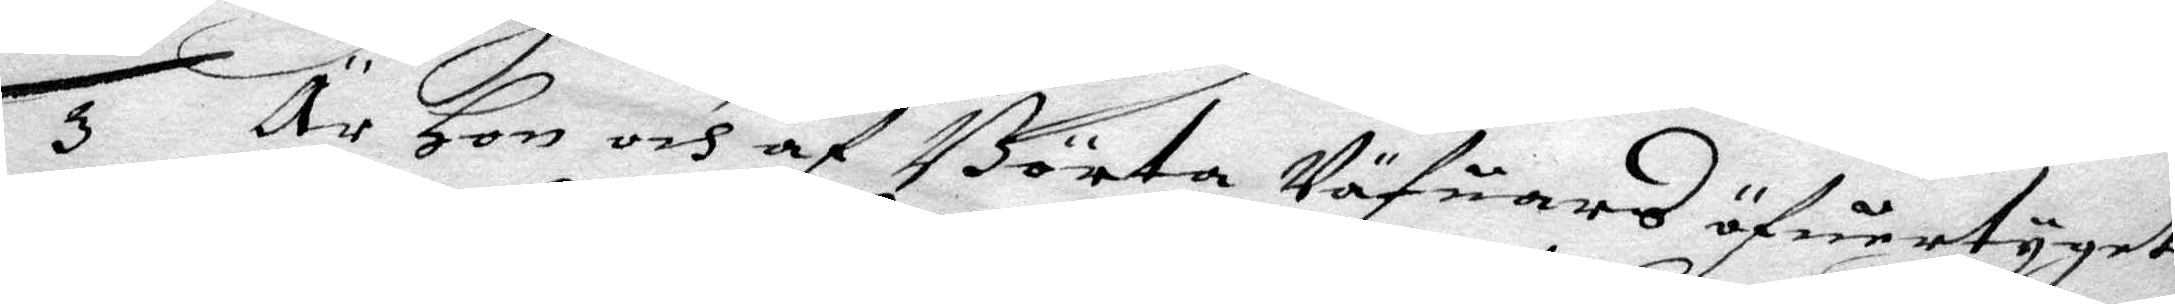3 Är Hon och af Börta Väfuars öfuertygat
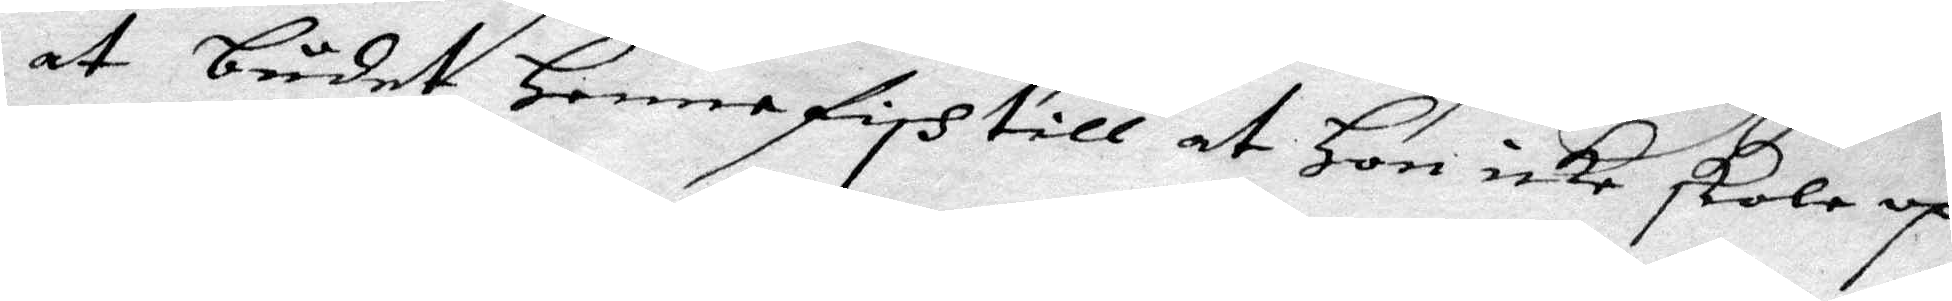at buder Henne fish till at Hon icke skola op¬
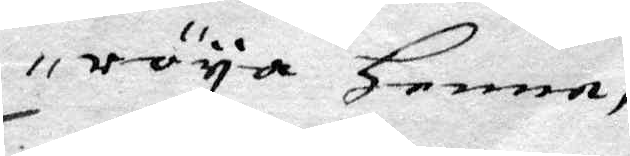röya Henne,
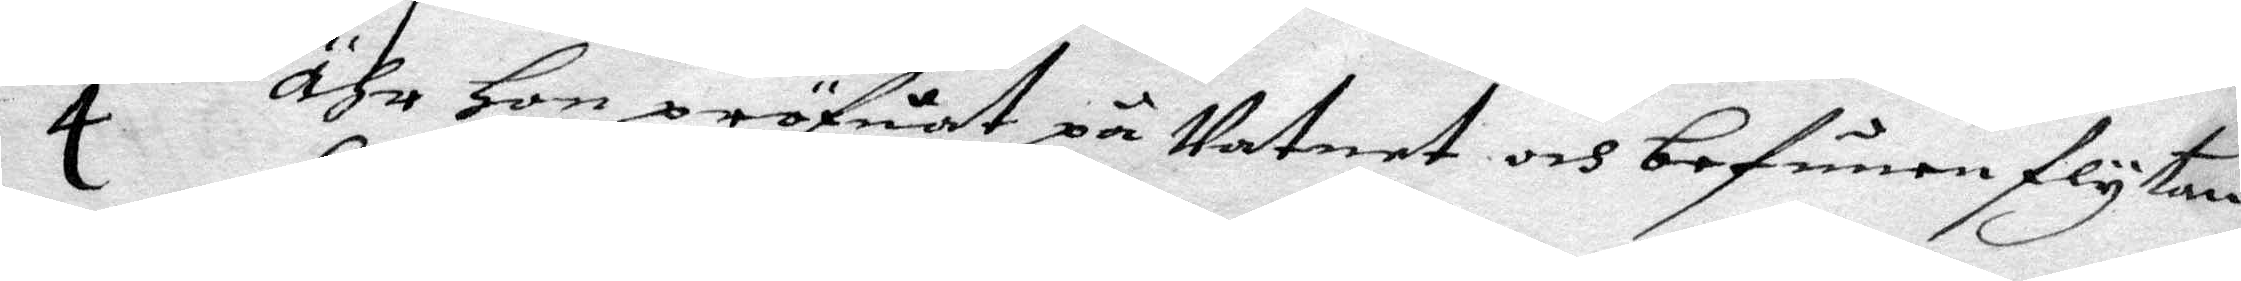4 Ähr Hon pröfuat på Vatnet och befunen flytan¬
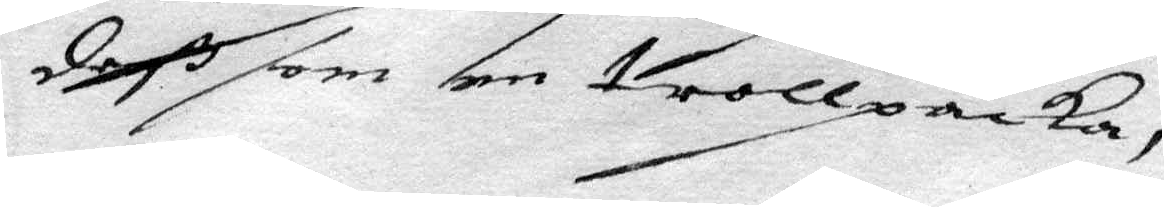deß som en trollpacka,
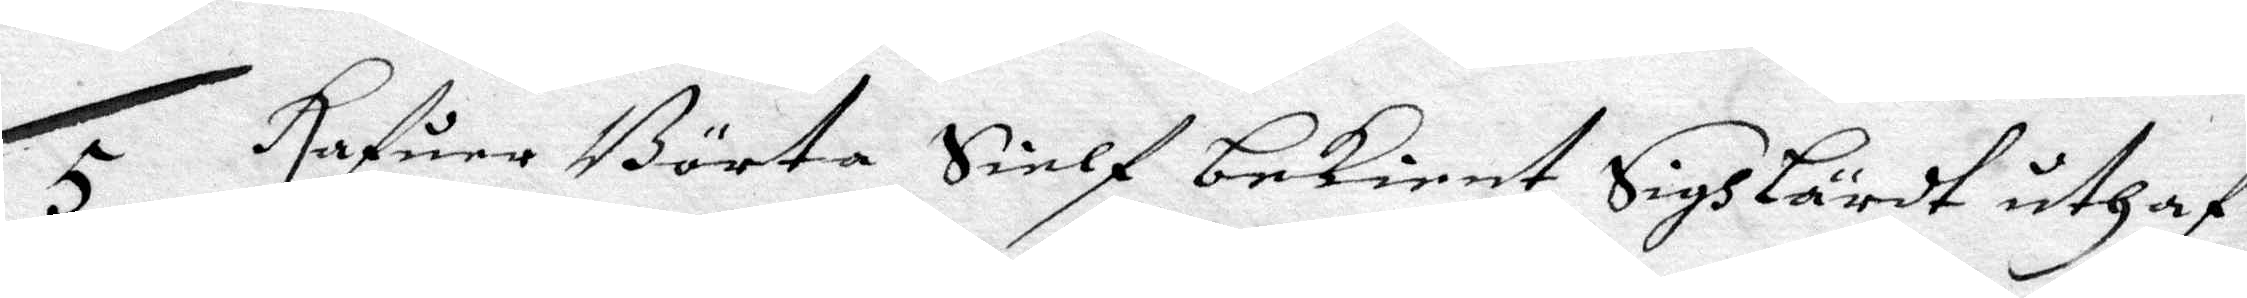5 hafuer Börta Sielf bekient Sigh Lärdt uthaf
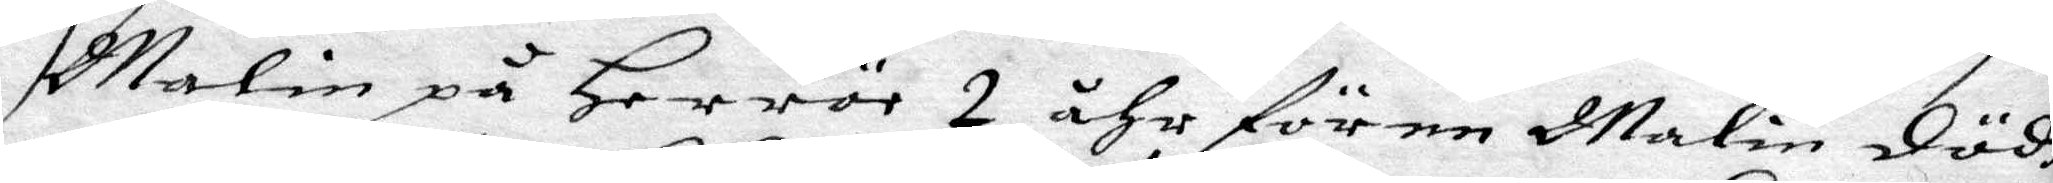Malin på Herrör 2 åhr för en Malin dödh
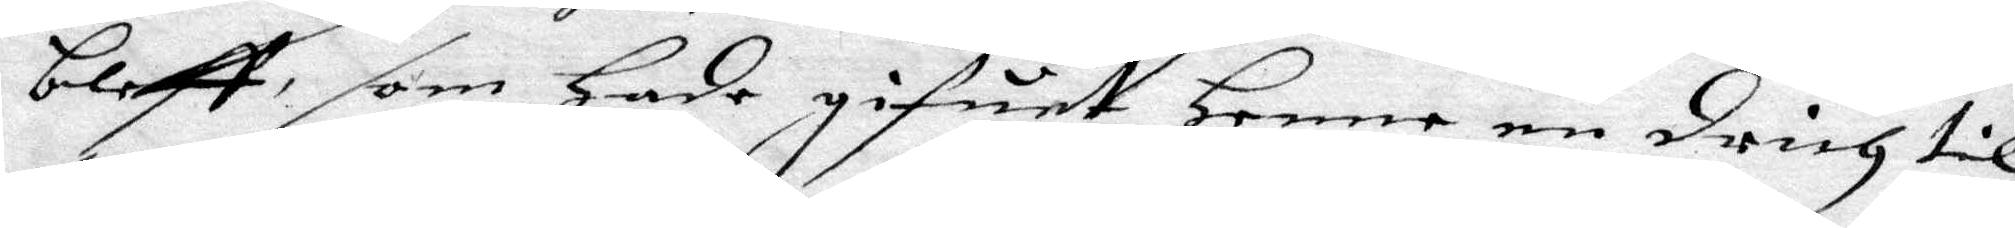bleff, som hade gifuet Henne en drich til
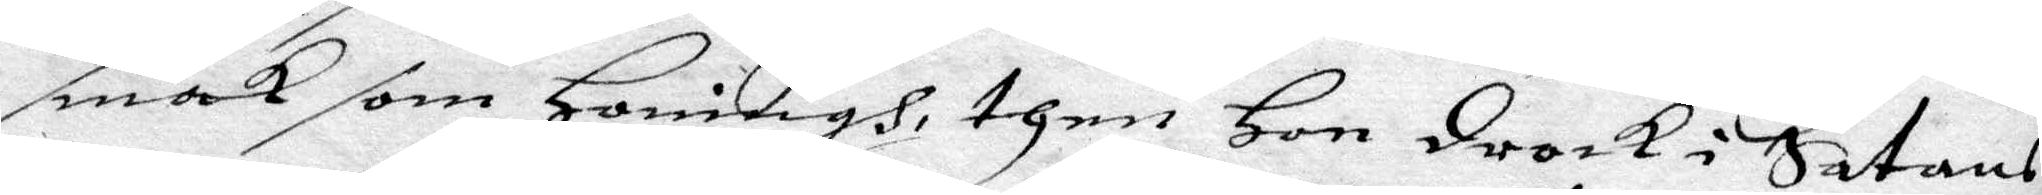smal som Honing, item Hon drack i Satans
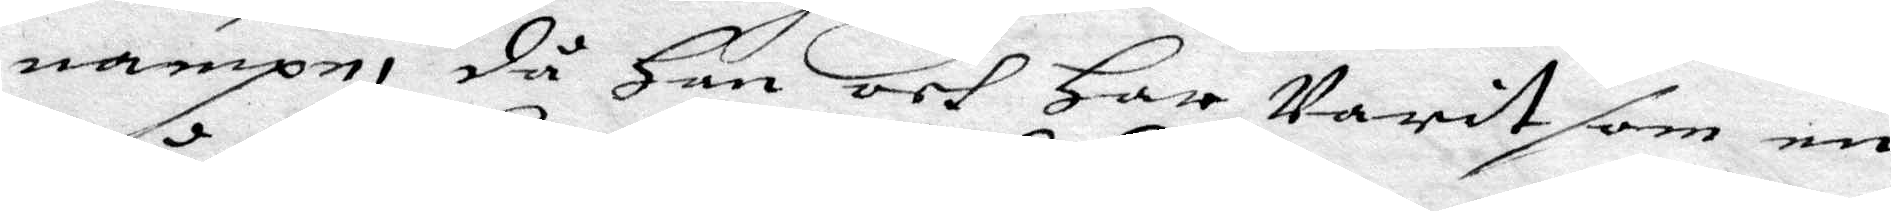nampn, då Han och Har Varit som en
